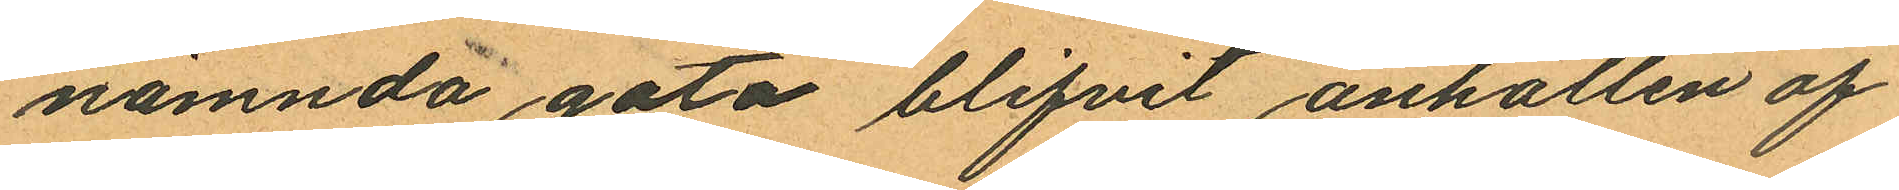nämnda gata blifvit anhållen af
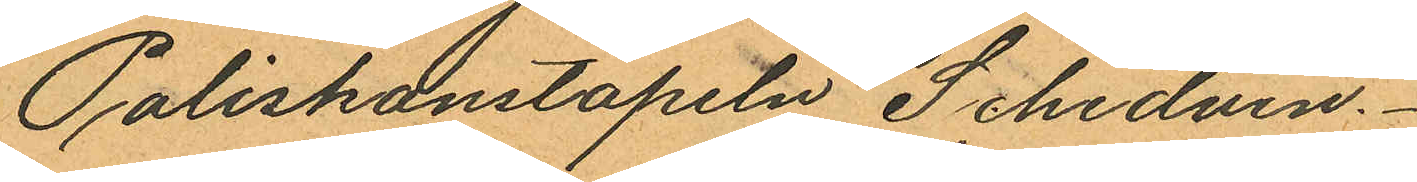Poliskonstapeln Schedvin.
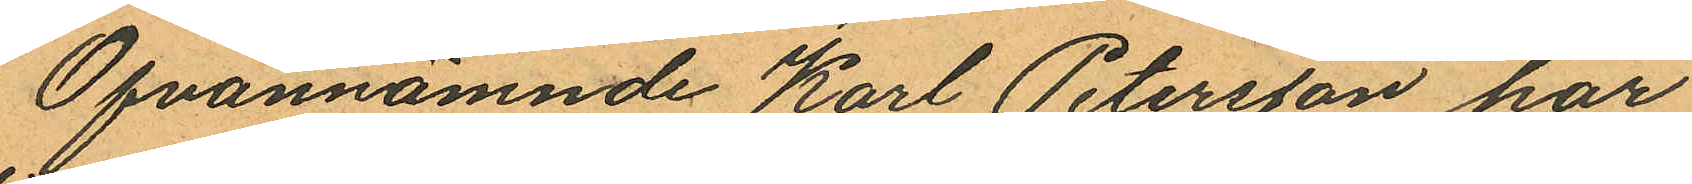Ofvannämnde Karl Petersson har
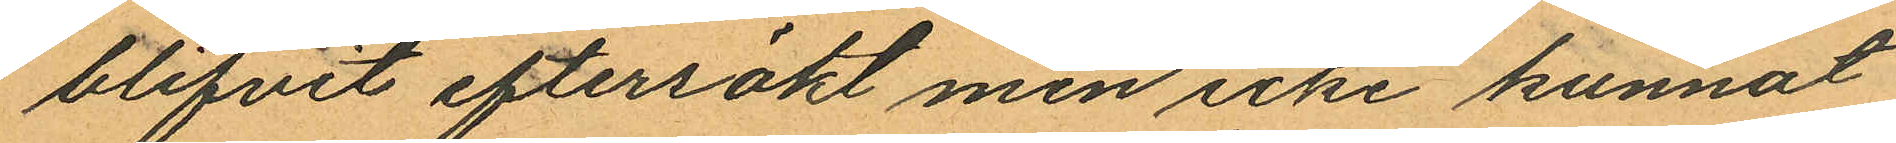blifvit eftersökt men icke kunnat
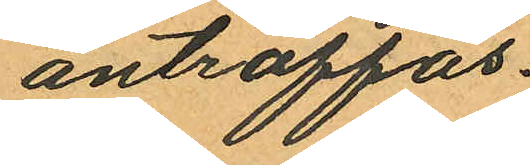anträffas.
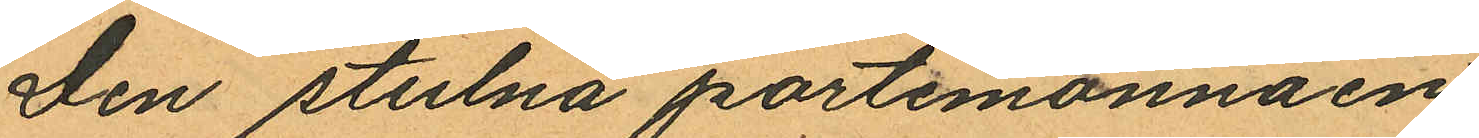Den stulna portemonnäen
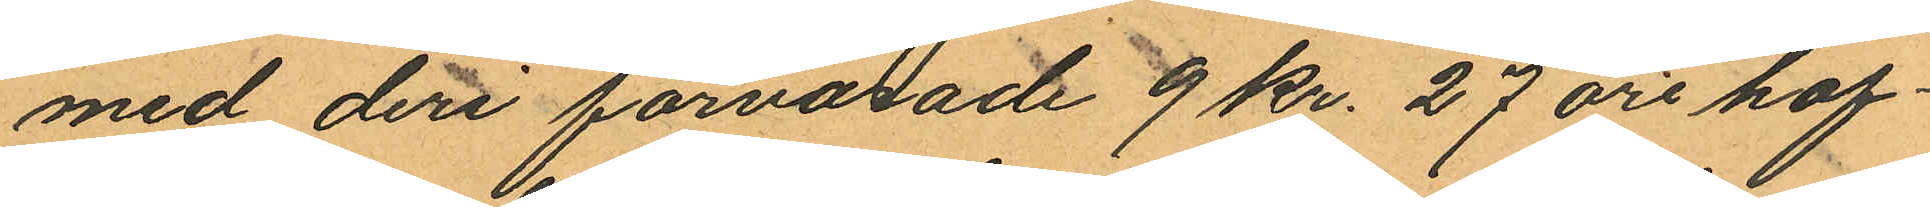med deri förvarade 9 Kr. 27 öre haf¬
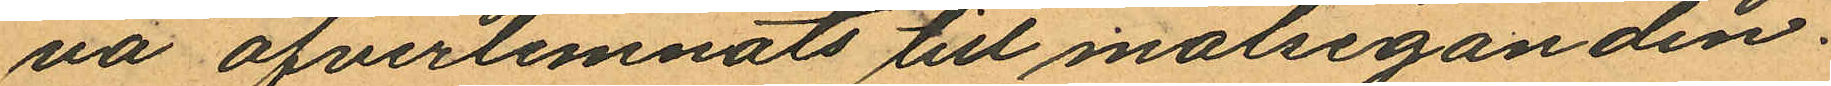na öfverlemnats till målseganden.
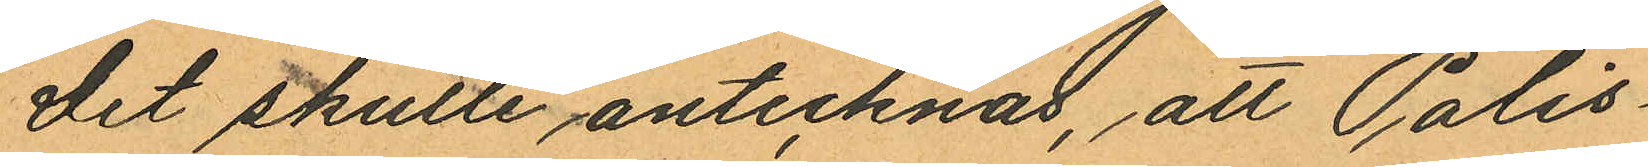Det skulle antecknas, att Polis¬
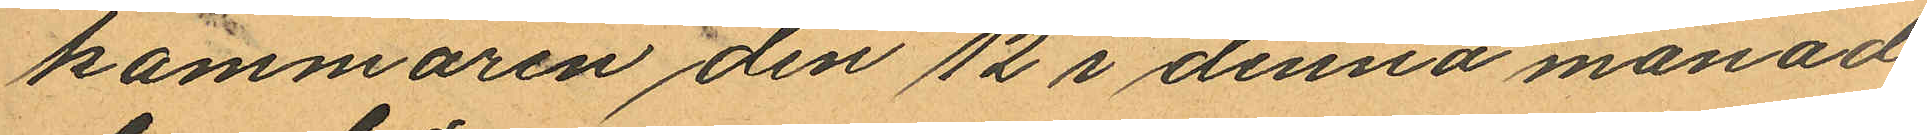kammaren den 12 i denna månad
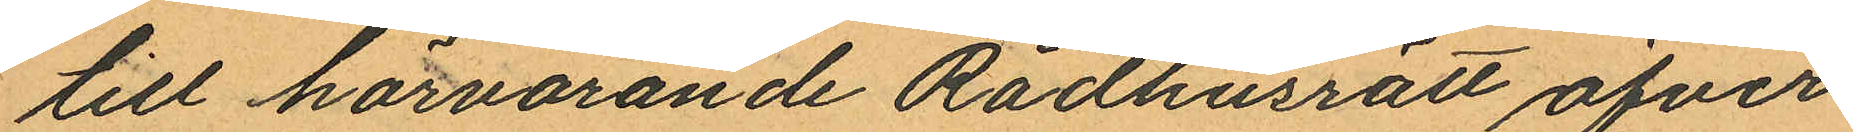till härvarande Rådhusrätt öfver
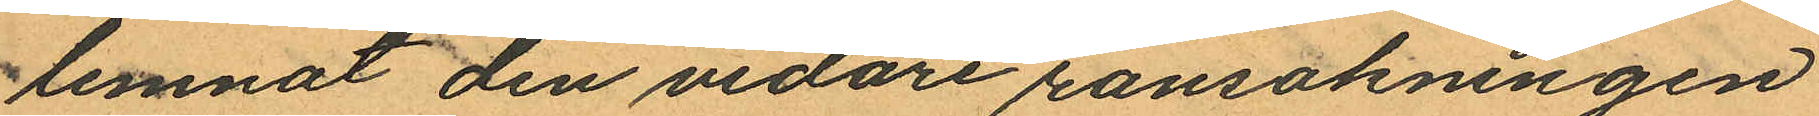lemnat den vidare ransakningen
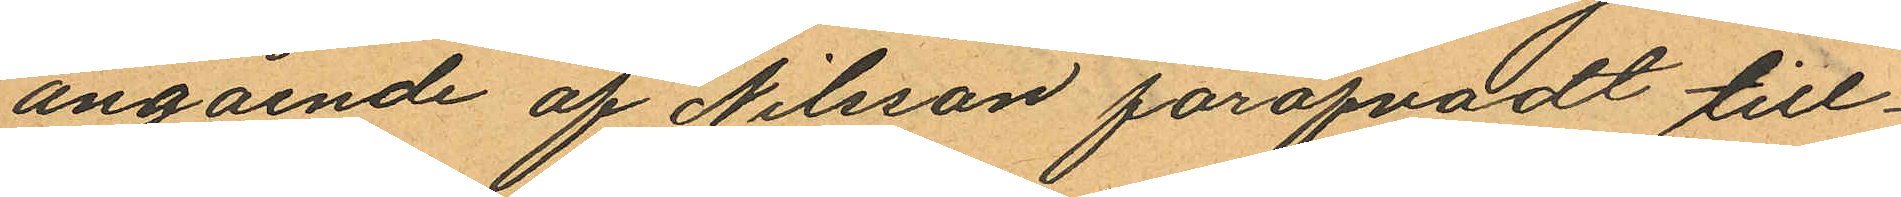angående af Nilsson föröfvadt till¬
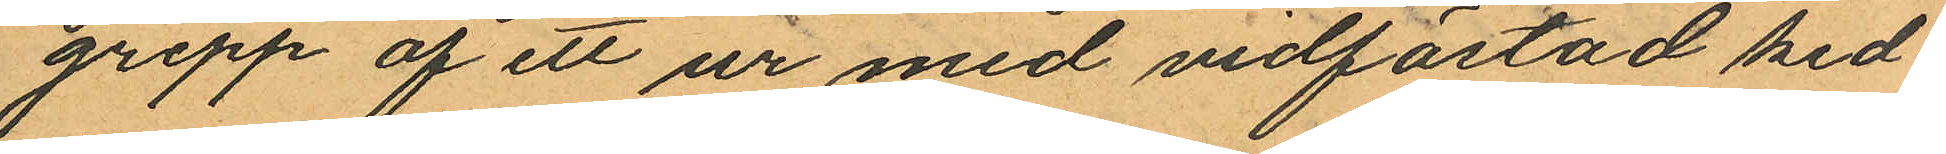grepp af ett ur med vidfästad ked¬
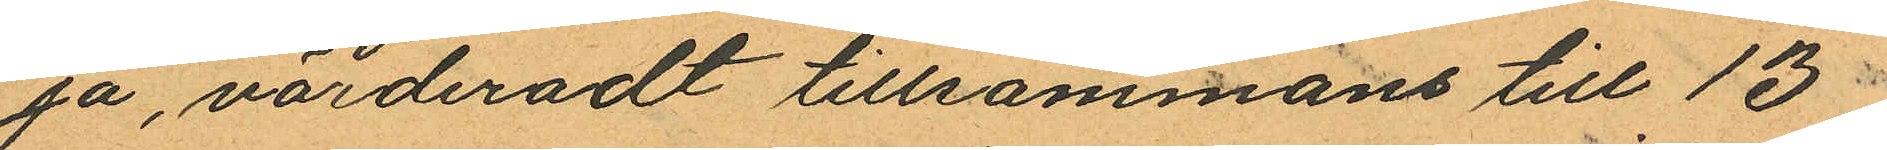ja, värderadt tillsammans till 13
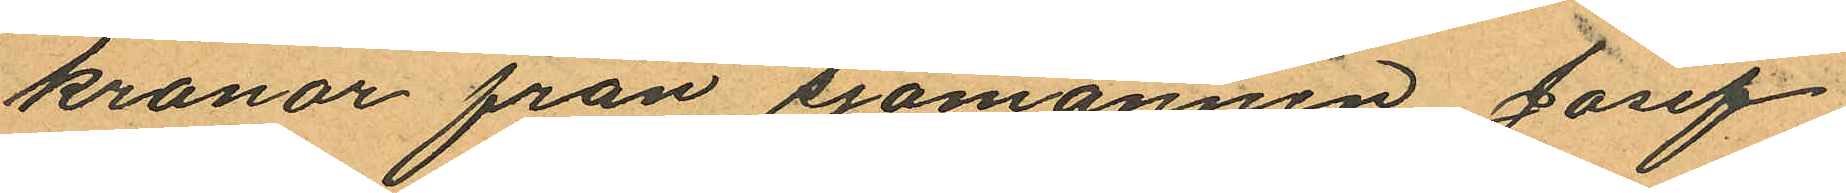kronor från sjömannen Josef
